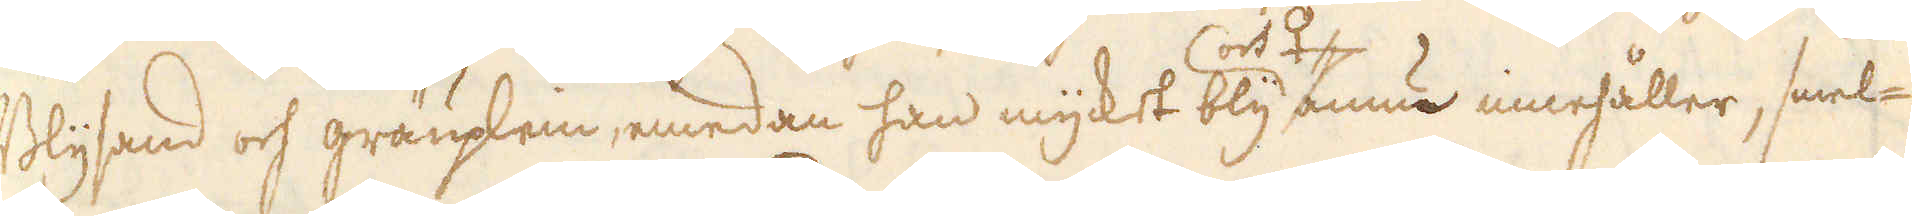Blysand och gräuplein, emedan han mycket bly ännu innehåller, smel-
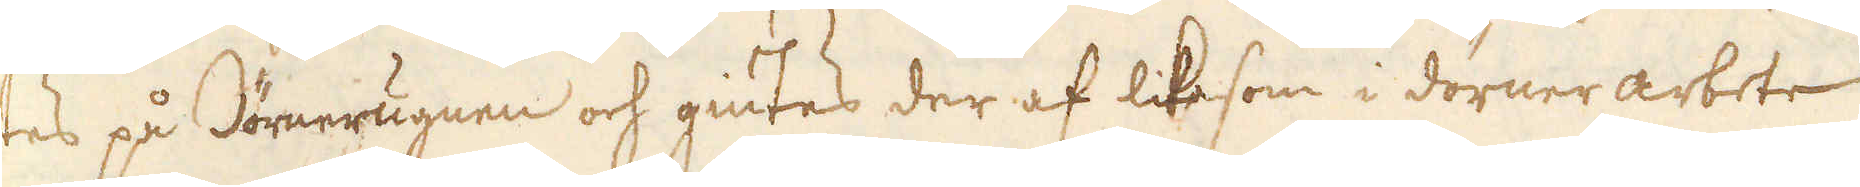tes på Dörnerugnen och giutes der af likesom i dörner arbete
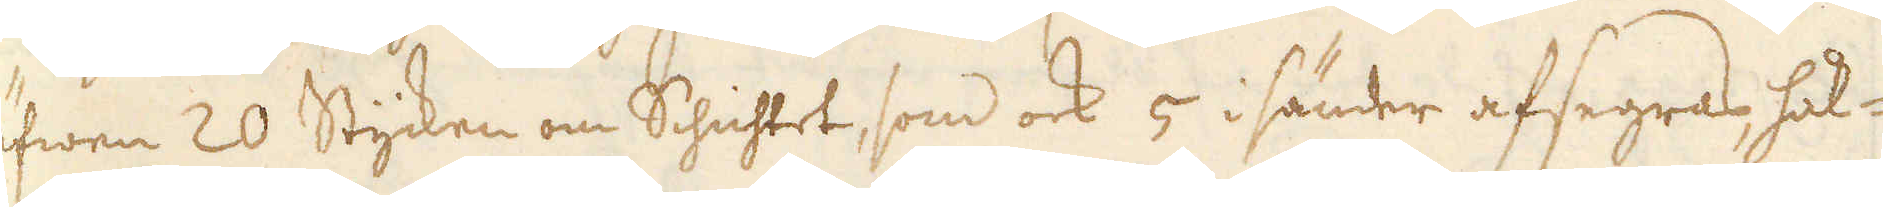äfwen 20 Stycken om Schichtet, som ock 5 i sänder afsegras, hål-
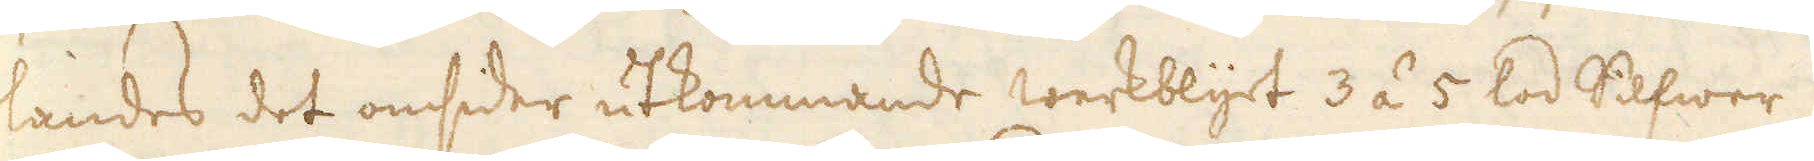landes det omsider utkommande werkblyet 3 á 5 lod Silfwer.
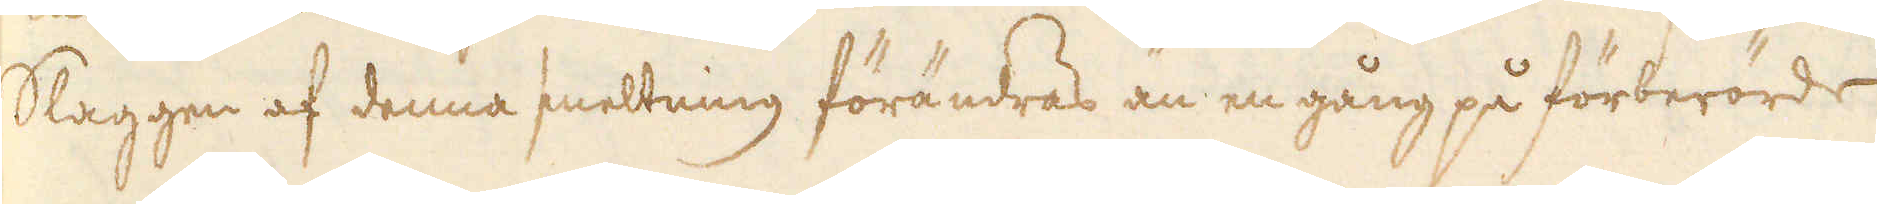Slaggen af denna smeltning förändras än en gång på förberörde
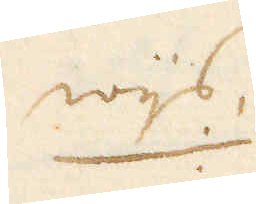wijs.
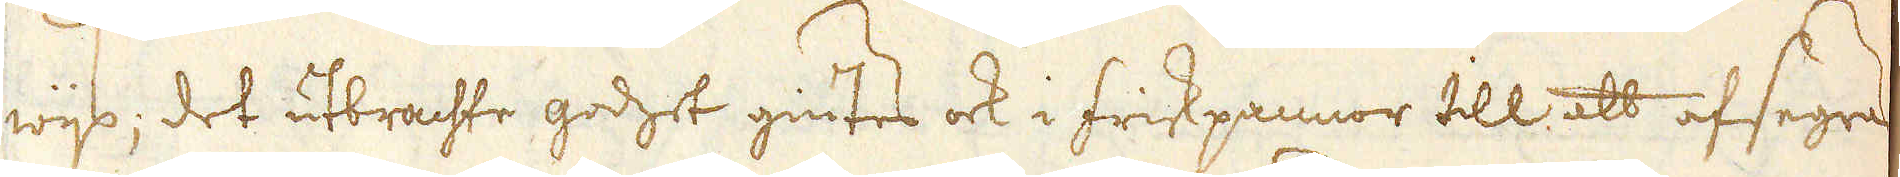wijs; det utbrachte godhet giutes ock i friskpannor till att afsegras
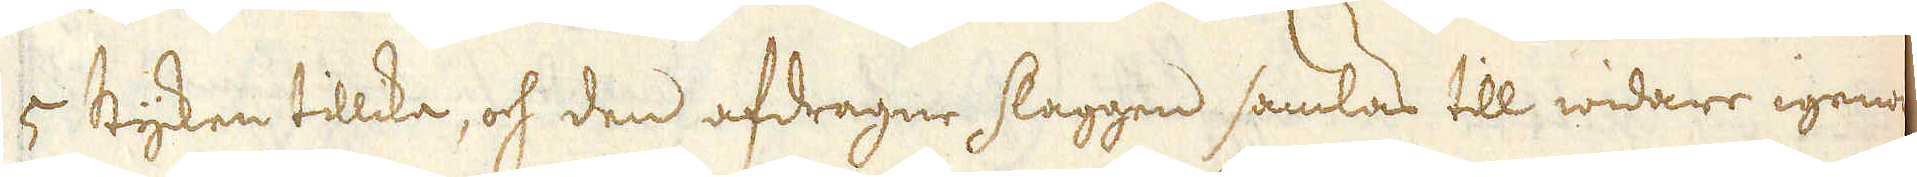4 Stycken tillika, och den afdragne slaggen samlas till widare igenom
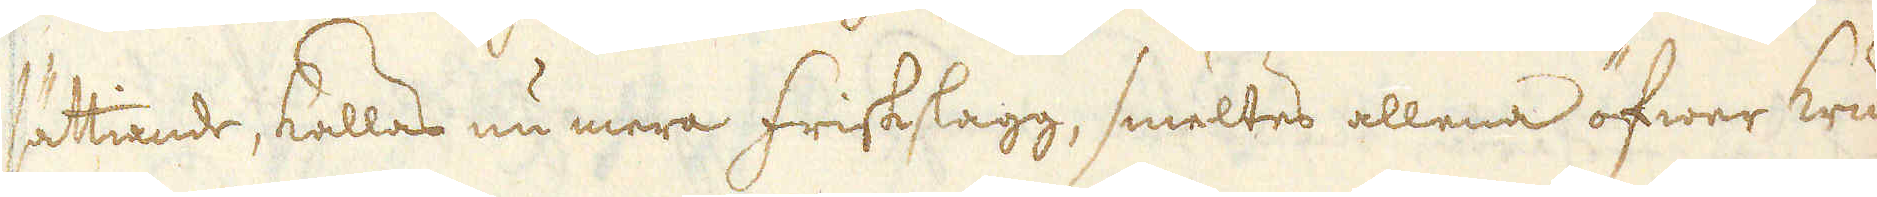sättiande, kallas nu mera friskslagg, smeltes allena öfwer krum-
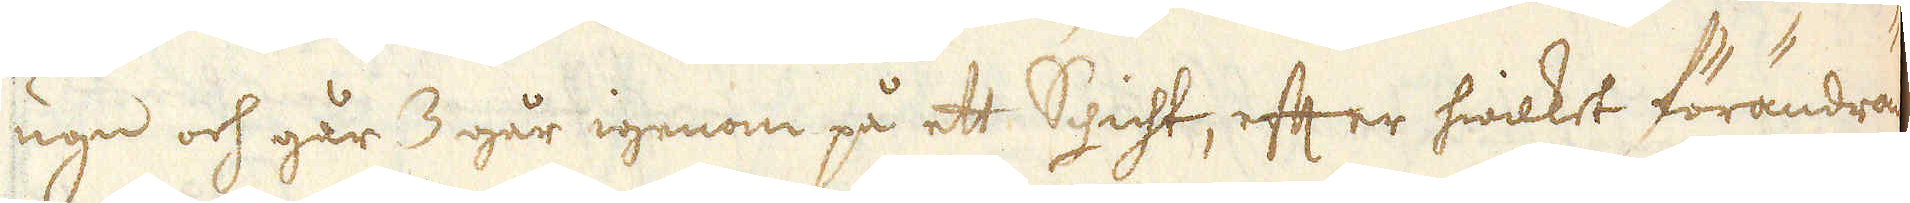ugn och går 3 går igenom på ett Schicht, efter hwilket förändras
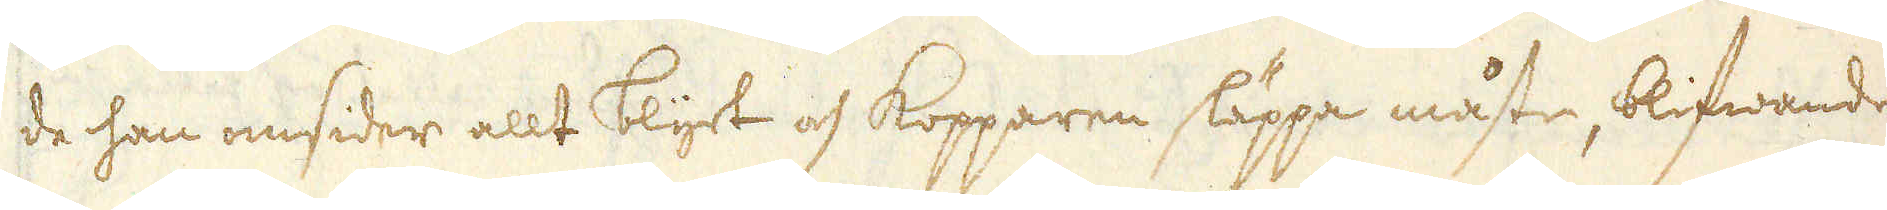de han omsider allt blyet och Kopparen släppa måste, blifwandes
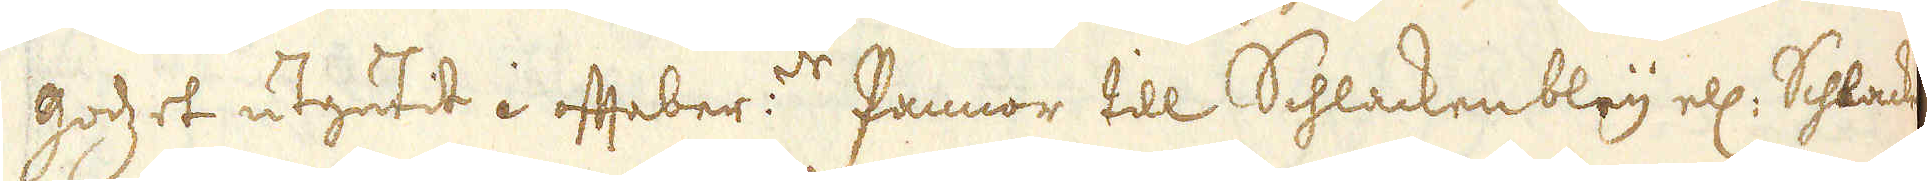godzet utgutit i ofteber:de Pannor till Schlackenbley ell: Schlacken
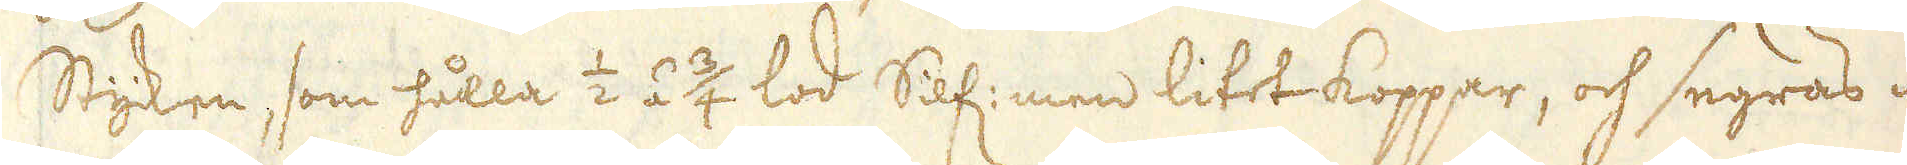Stycken, som hålla 1/2 á 3/4 lod Silf: men litet koppar, och segras me-
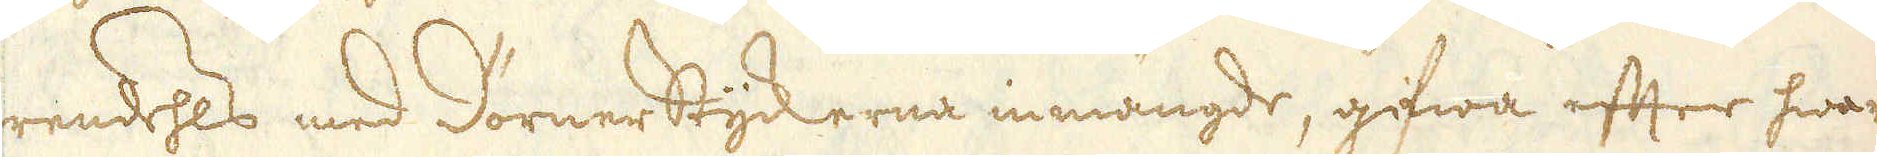rendehls med Dörnerstyckerna inmängde, gifwa efter hwart
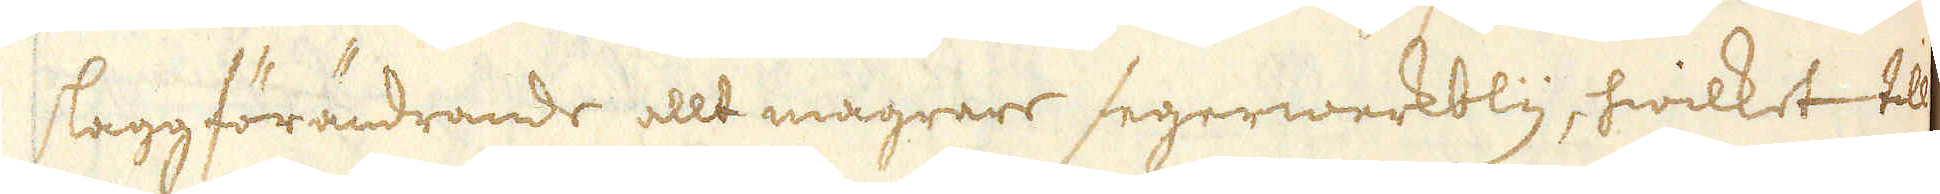slaggförändrande allt magrare segerwerkbly, hwilket till
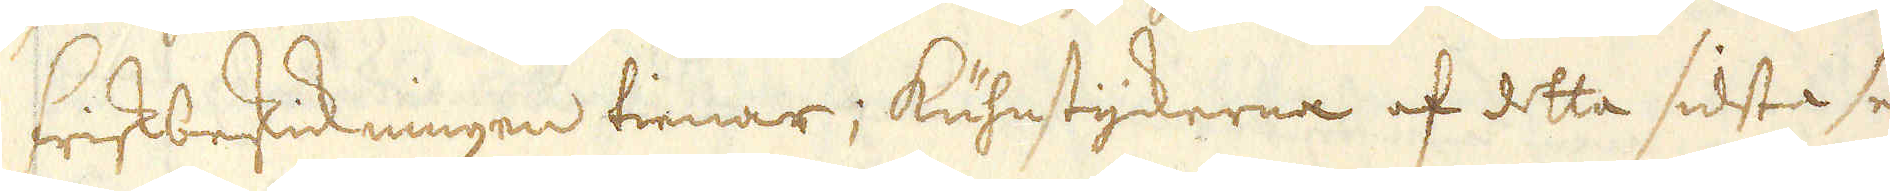friskbeskickningen tienar; Kuhnstyckerna af detta sidsta se-
